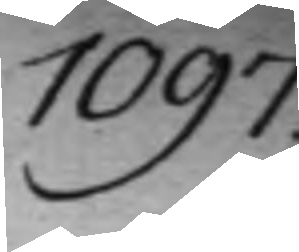1097.
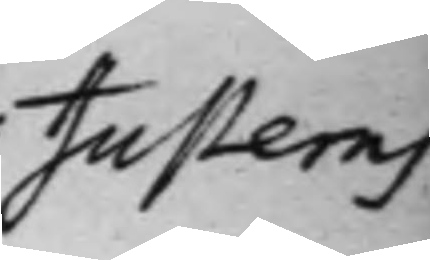Justeras
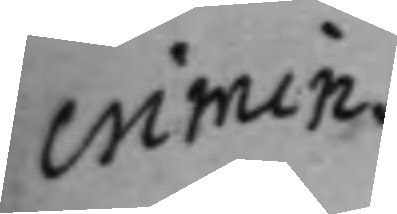crimin.
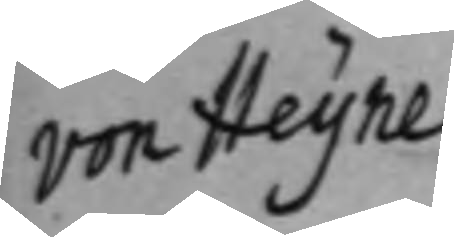von Heijne
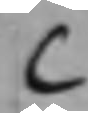C
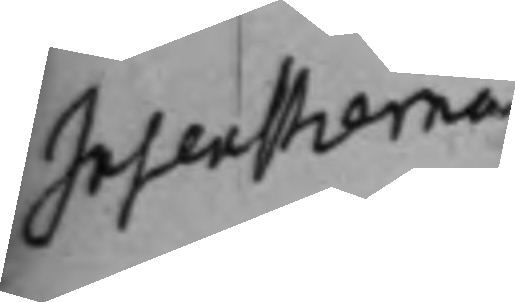Insenstierna
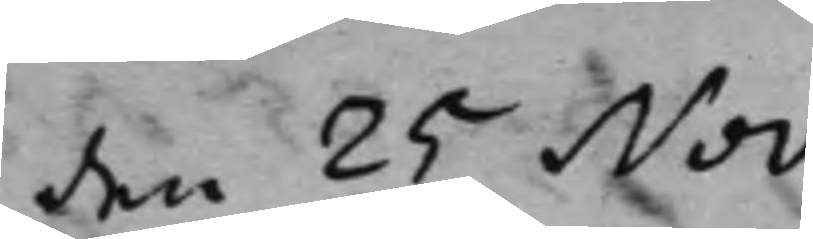den 25 Nov.
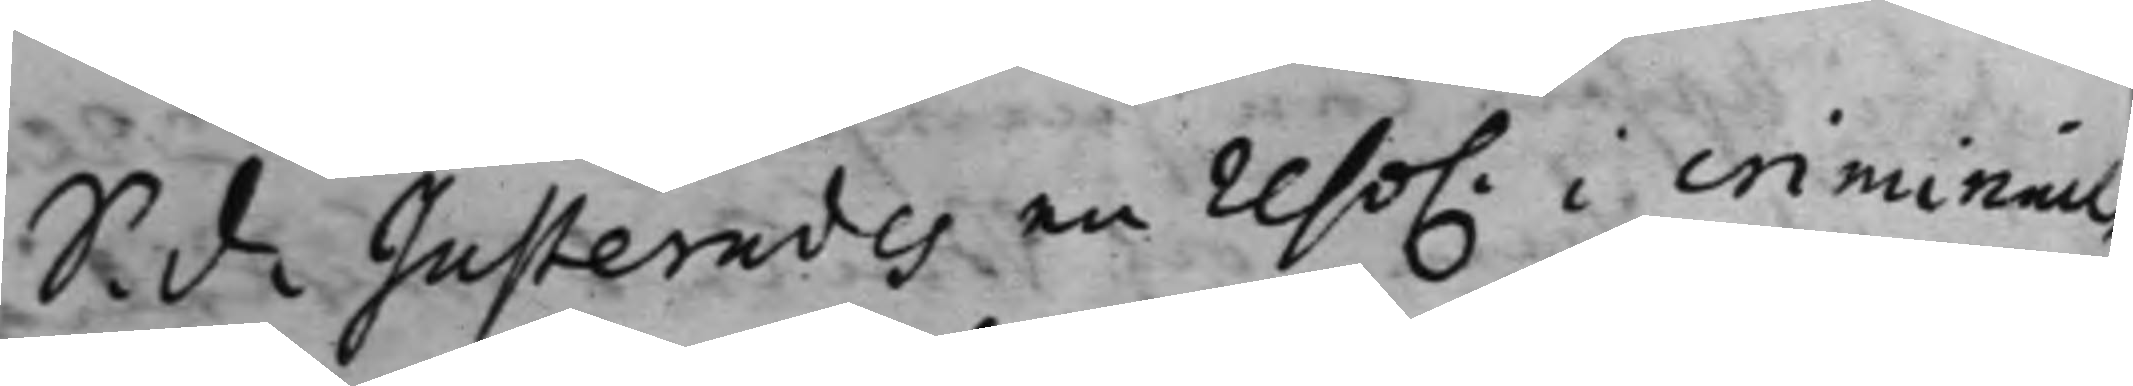S. d. Justerades en reso. i criminal¬
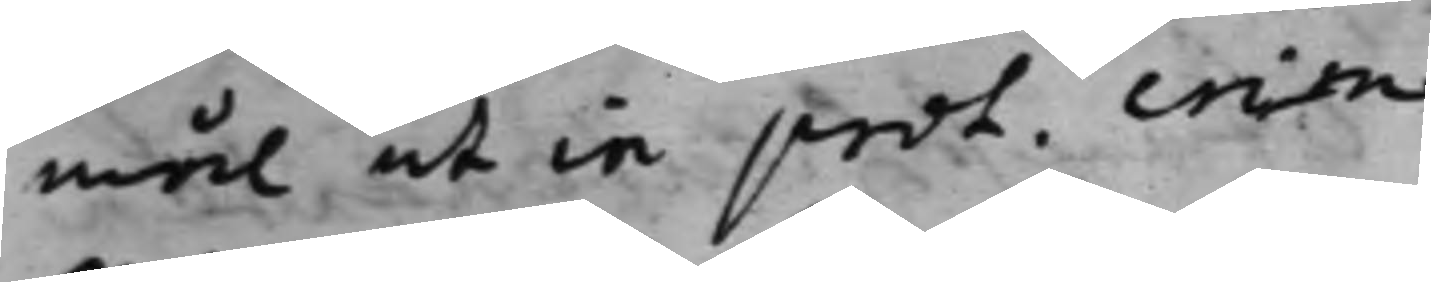mål ut in prot. crim.
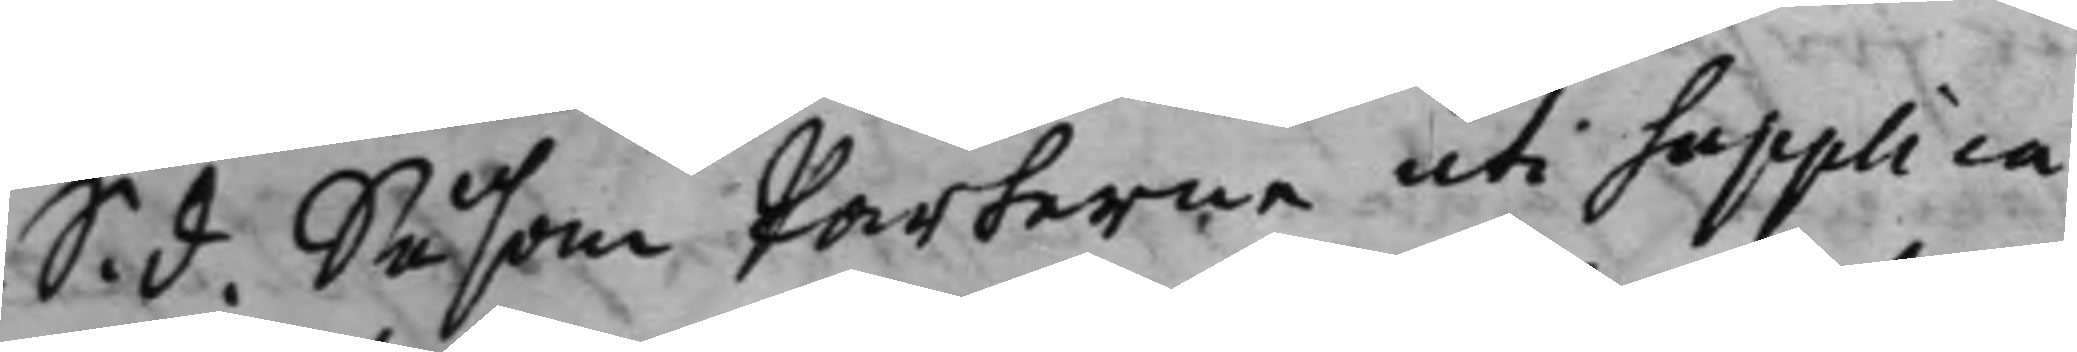S. d. Såsom Parterne uti Supplica¬
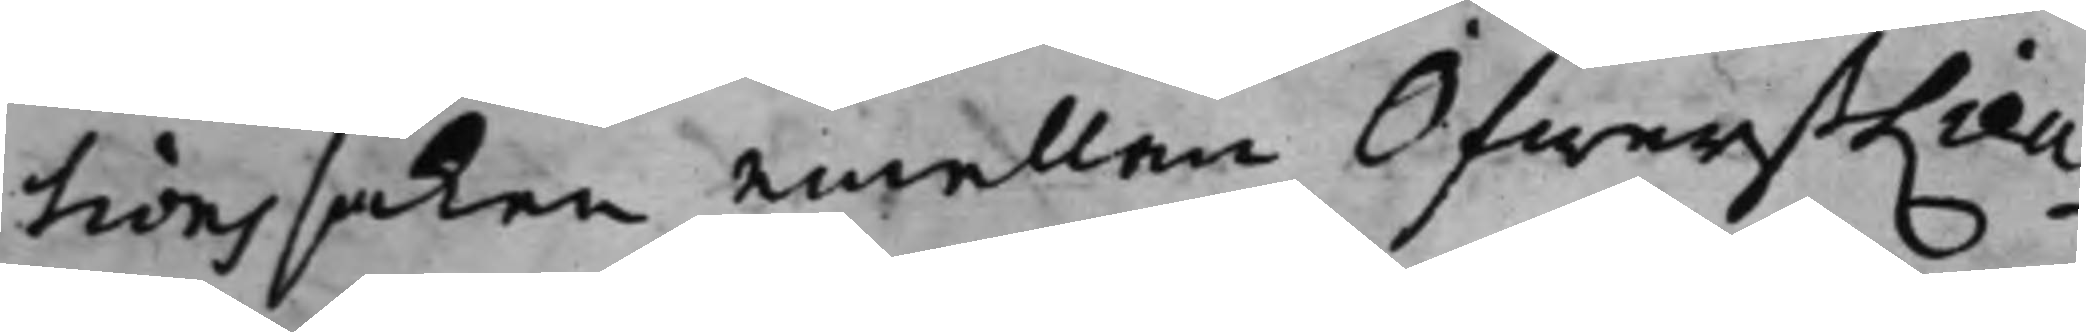tions saken emellan ÖfwerstLieu¬
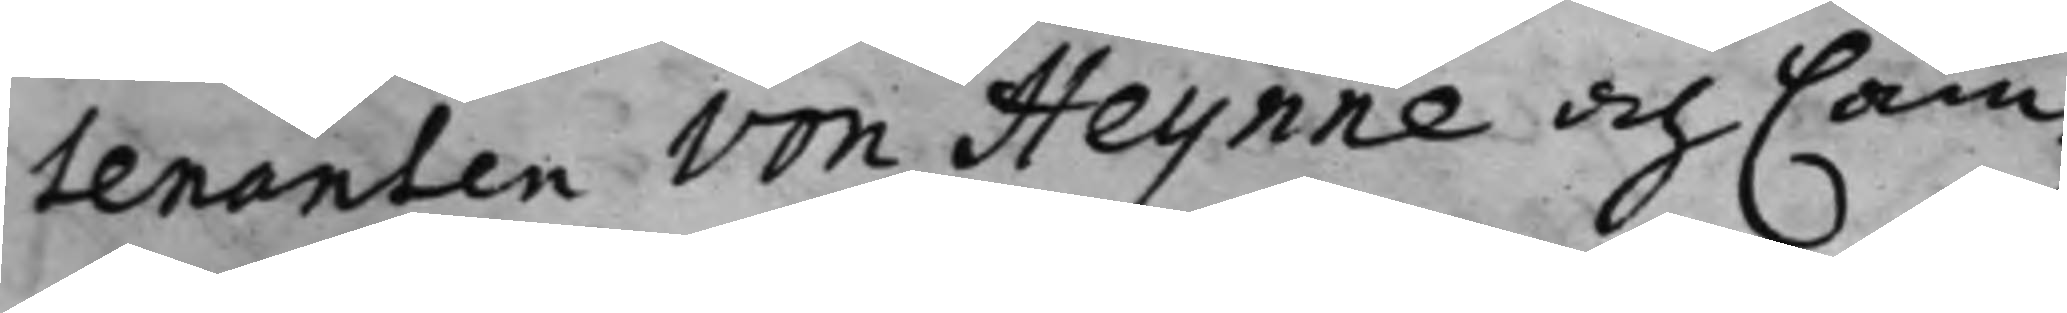tenanten von Heijnne och Cam¬
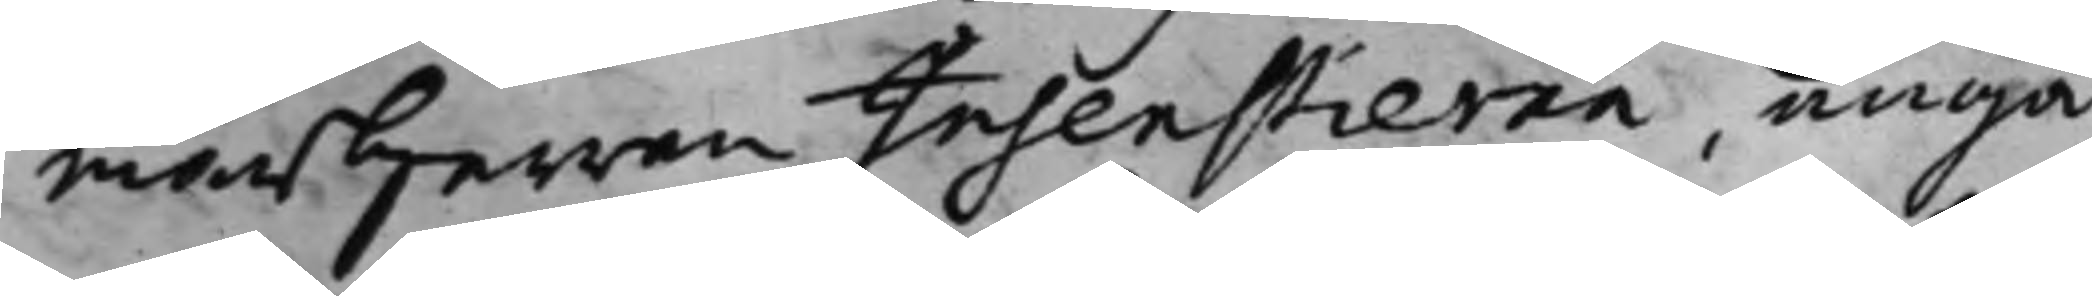marherren Insenstierna, angå¬
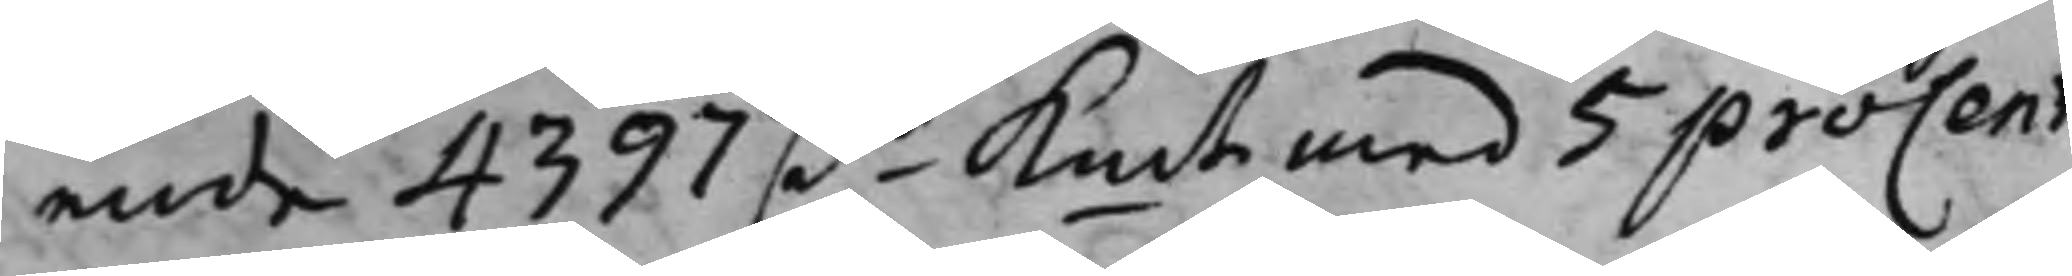ende 4397 Dr Kmt med 5 proCent.
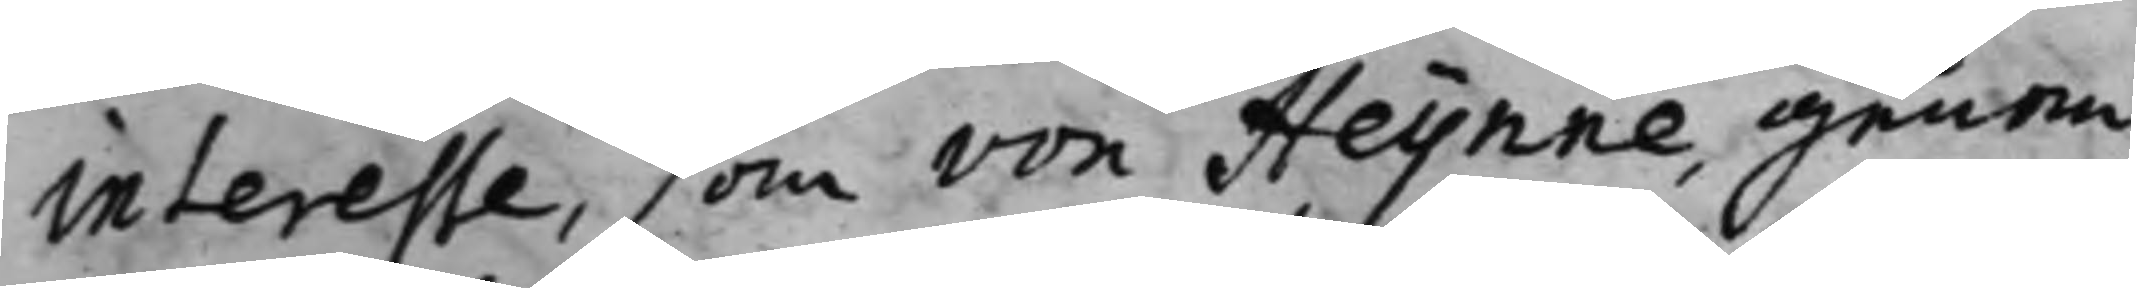interesse, som von Heijnne, genom
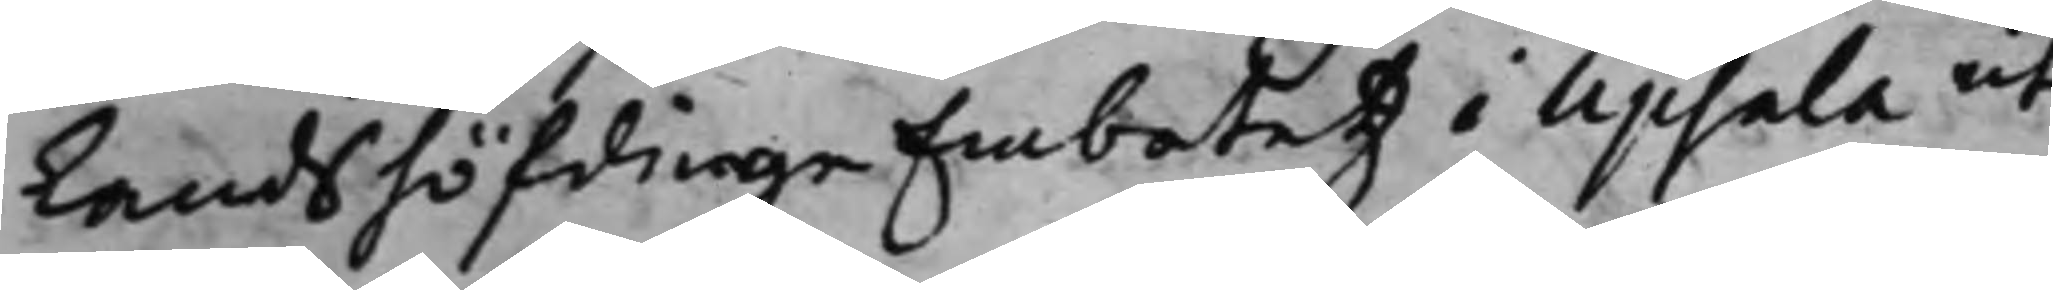LandshöfdingeEmbetetz i Upsala ut¬
